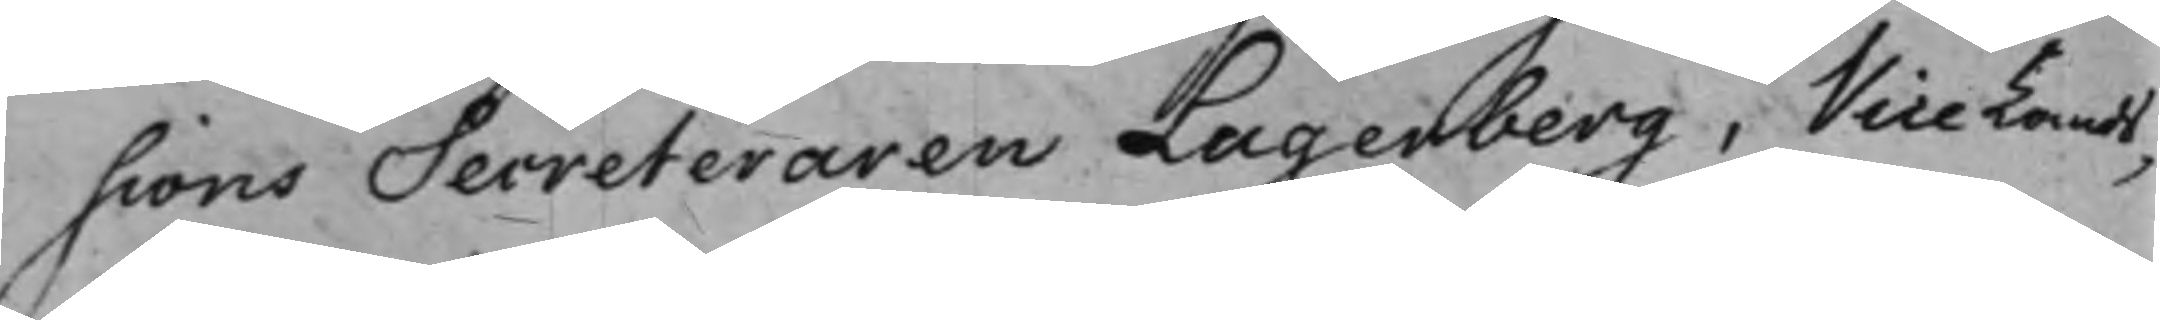sions Secreteraren Lagerberg, Vice Lands¬
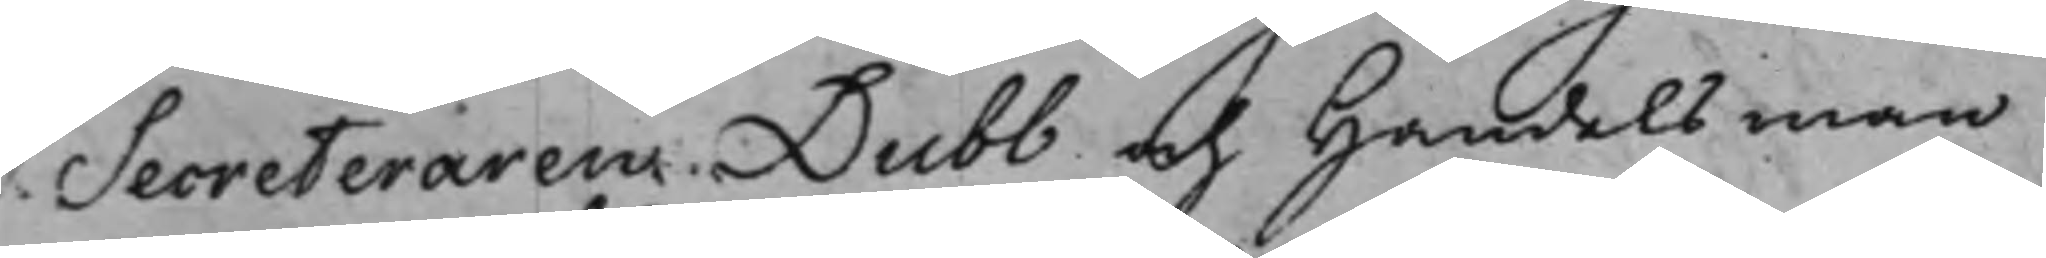Secreteraren Dubb och Handelsman
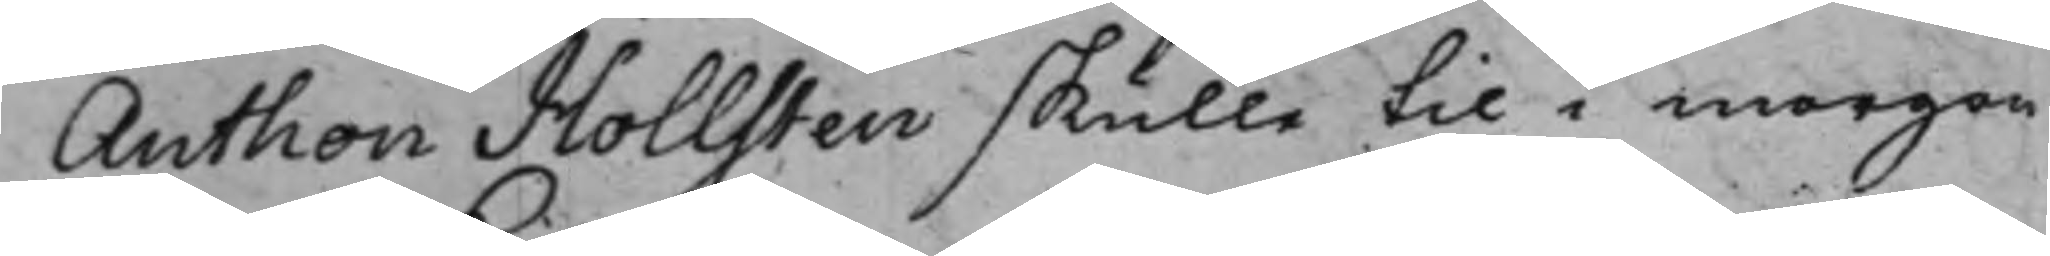Anthon Hollsten skulle til i morgon
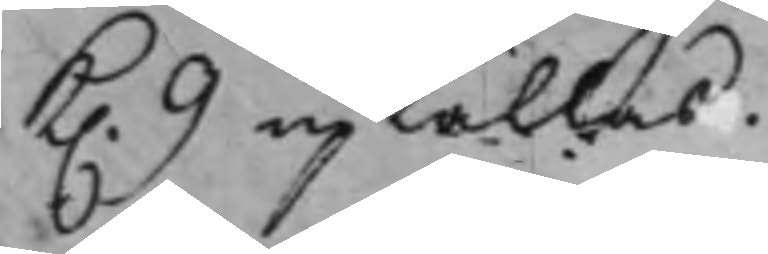K. 9 upkallas.
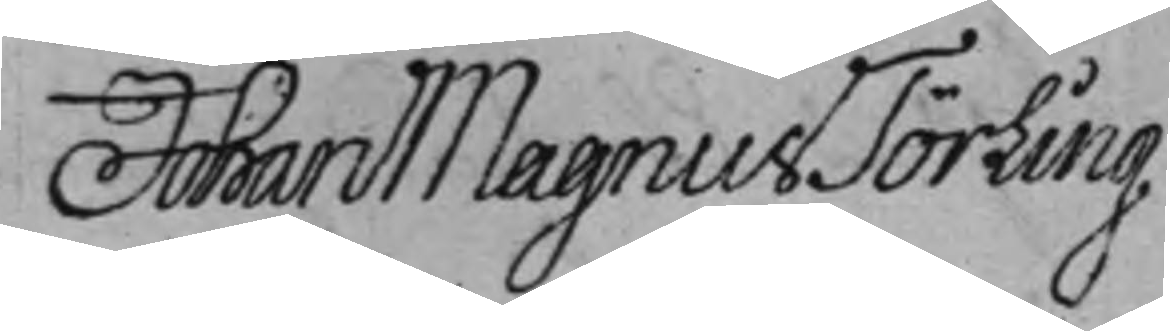Johan Magnus Törling
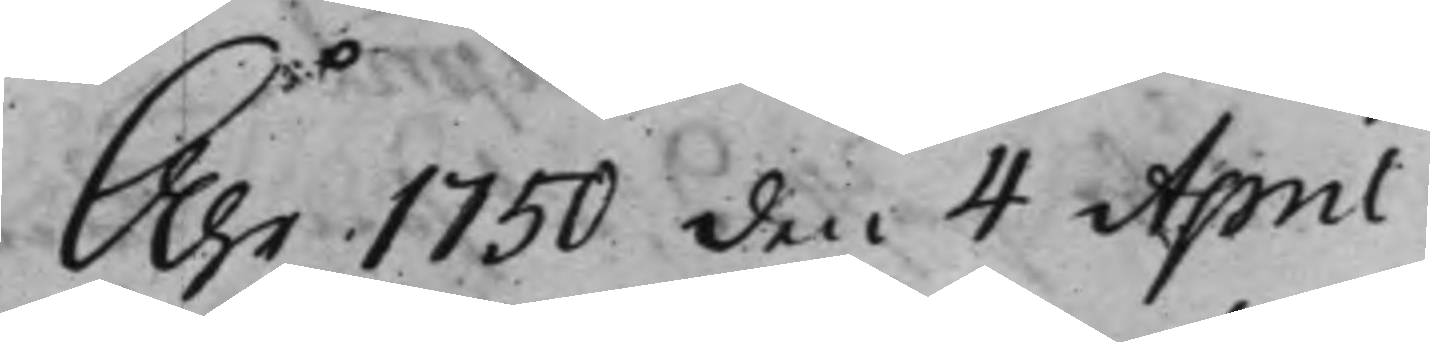År 1750 den 4 April
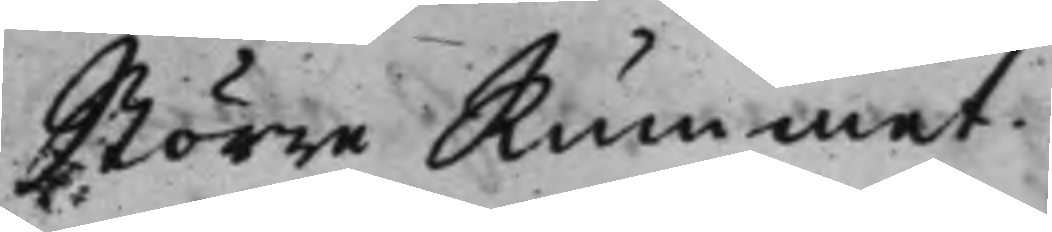Större Rummet.
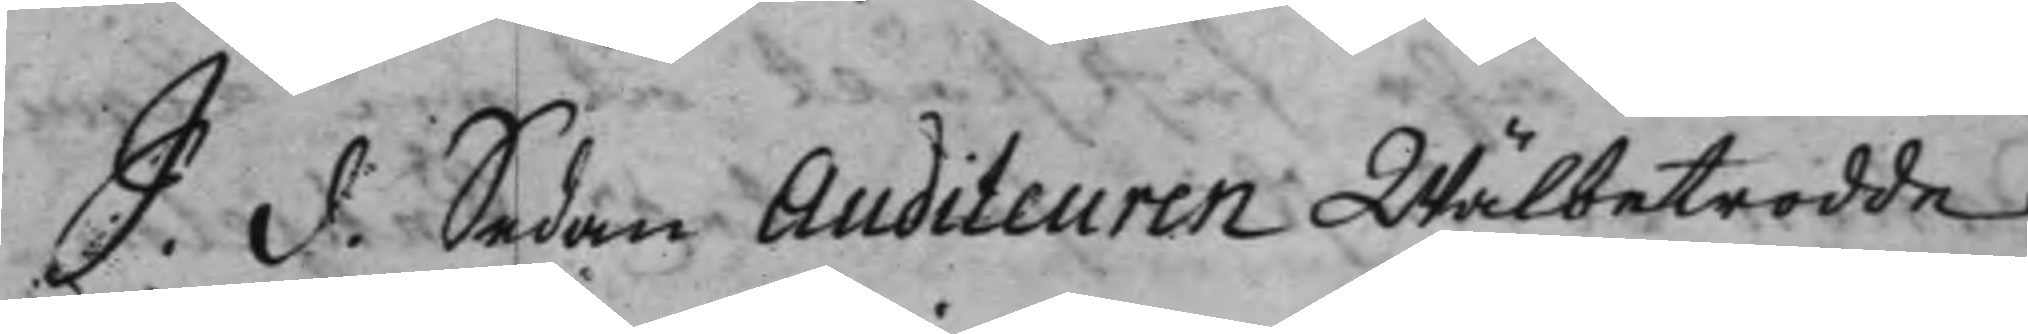S. d. Sedan Auditeuren Wälbetrodde
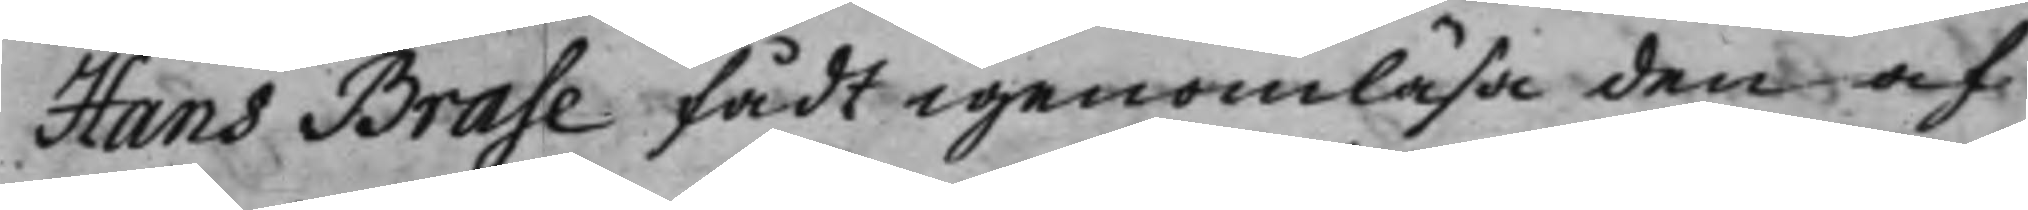Hans Brase fådt igenomläsa den af
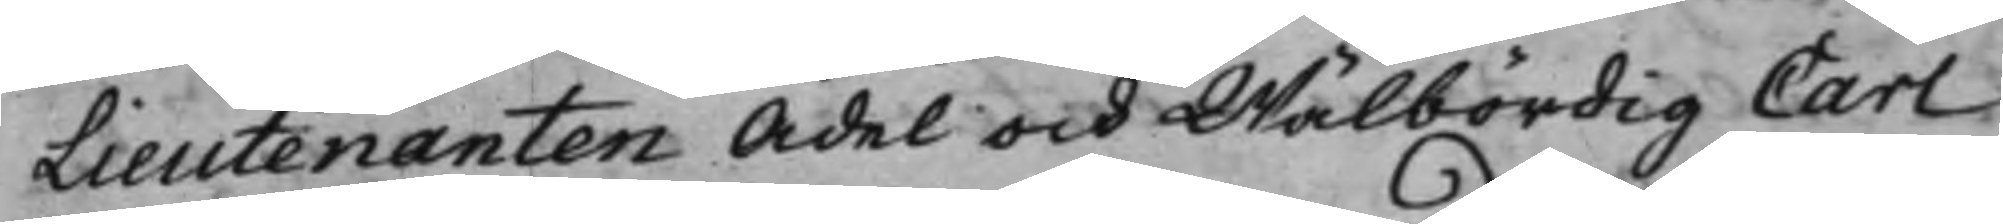Lieutenanten Ädel och Wälbördig Carl
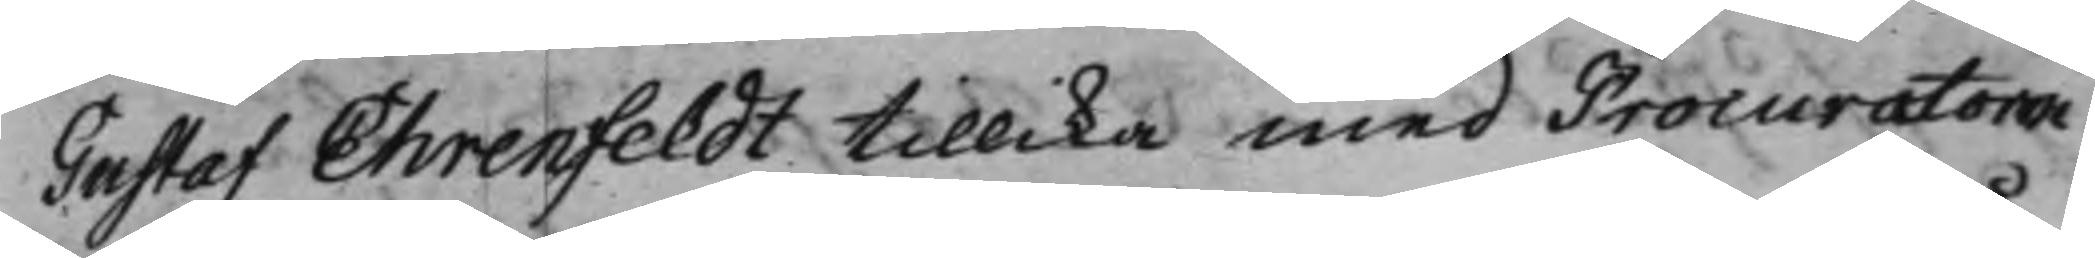Gustaf Ehrenfeldt tillika med Procuratorn
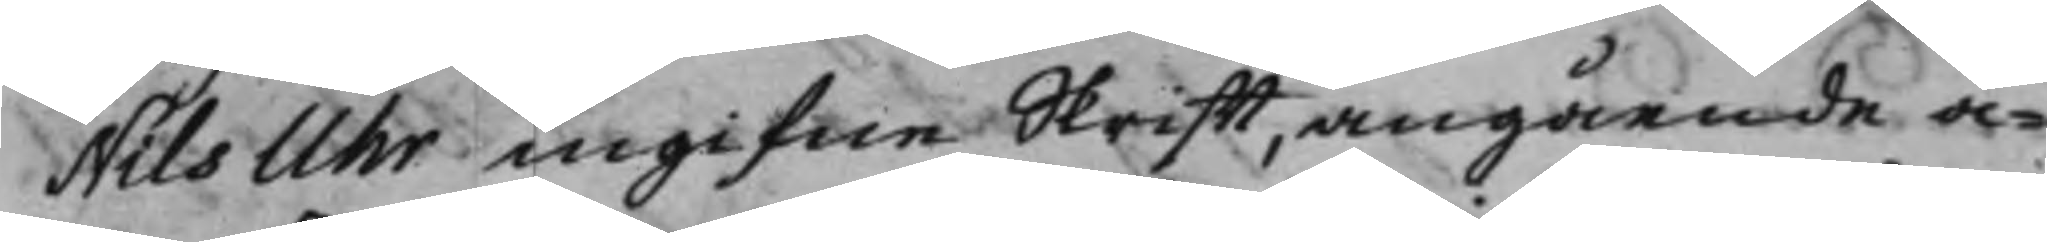Nils Uhr ingifne Skrifft, angående å¬
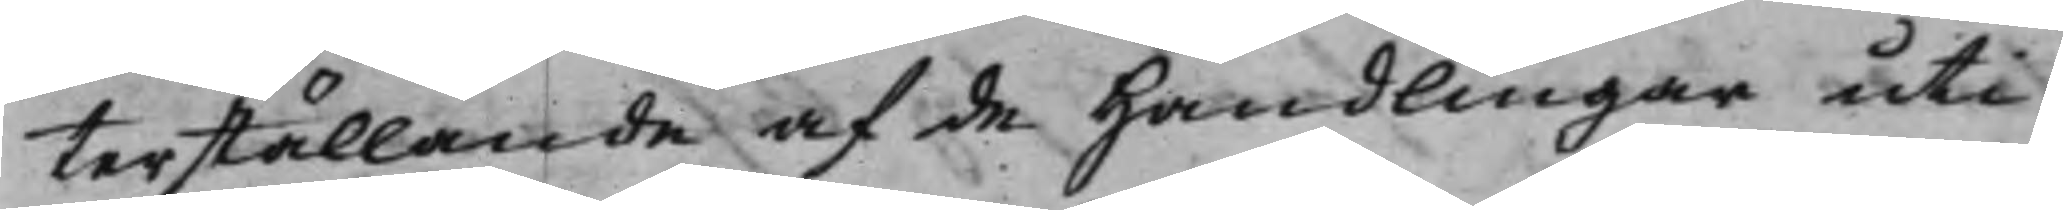terställande af de Handlingar uti
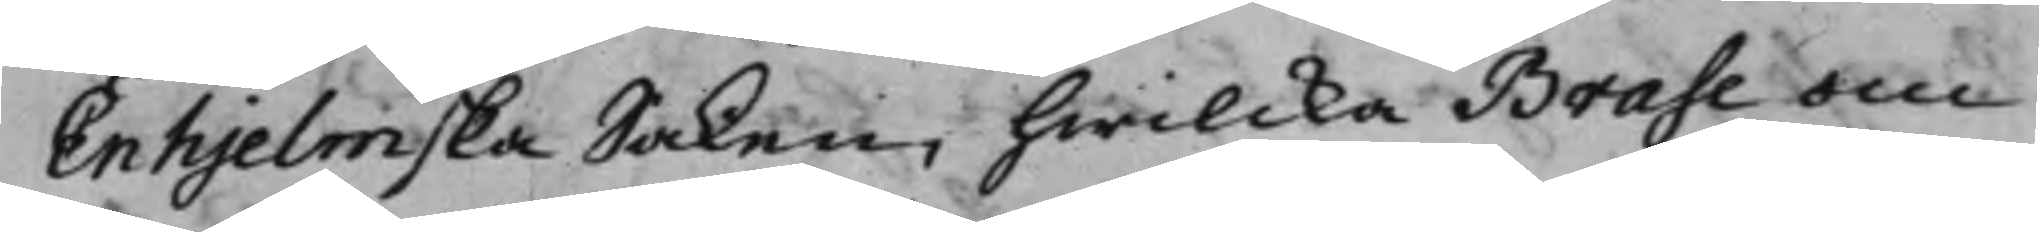Enhjelmska Saken, hwilcka Brase om
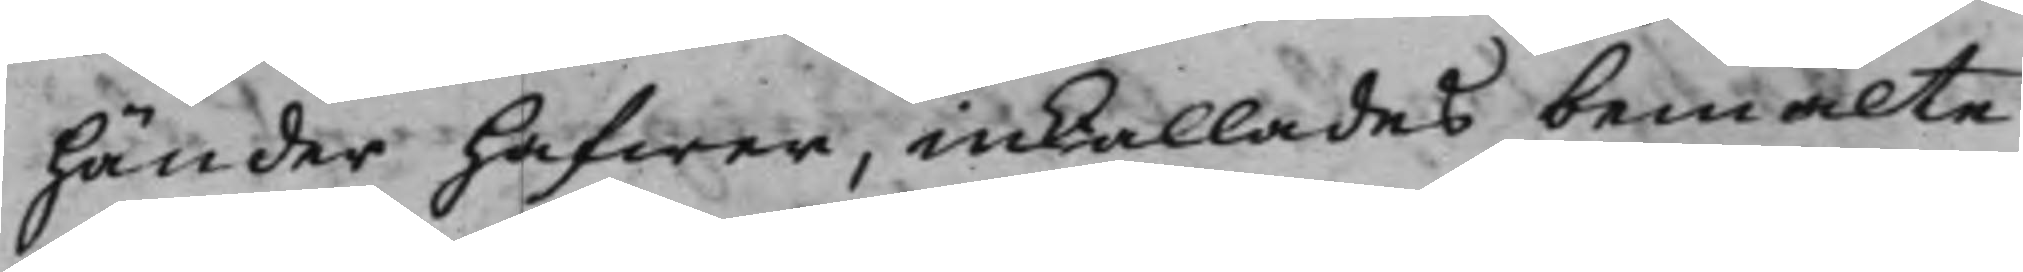händer hafwer, inkallades bemälte
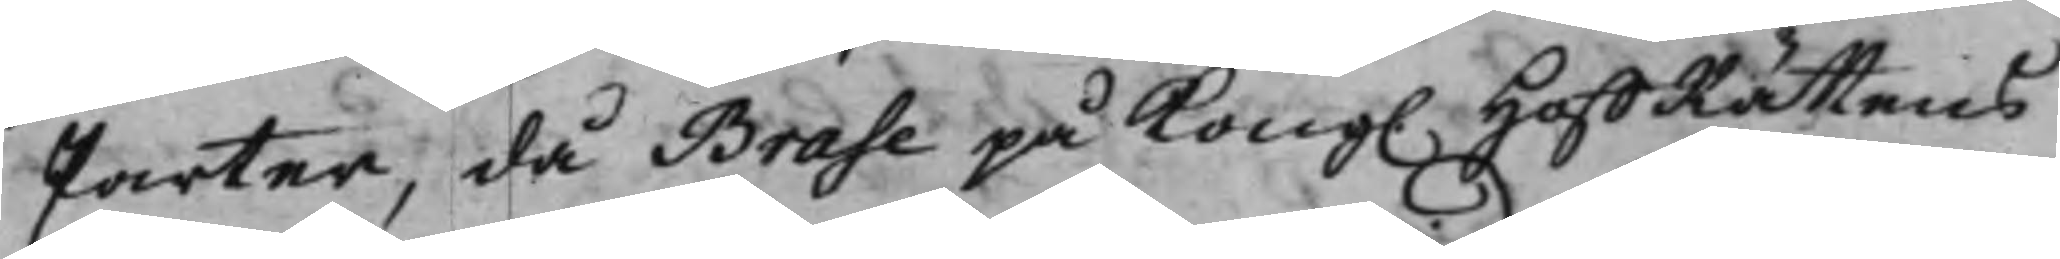Parter, då Brase på Kong. HoffRättens
